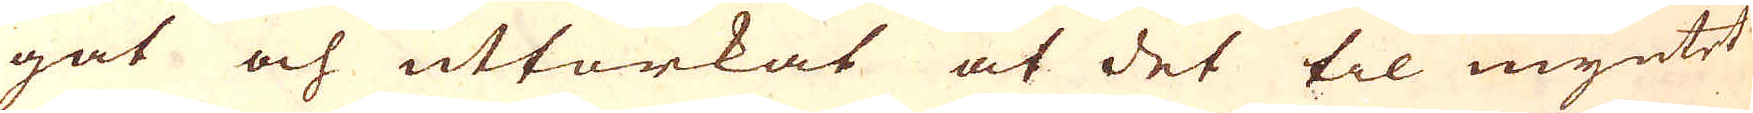gat och uttorkat at det til myntet
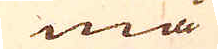må
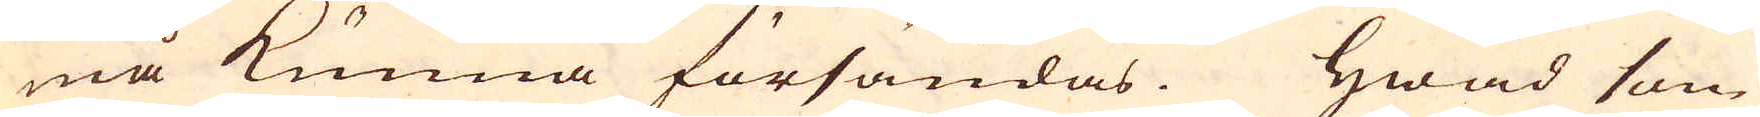må kunna försändas. Hwad som
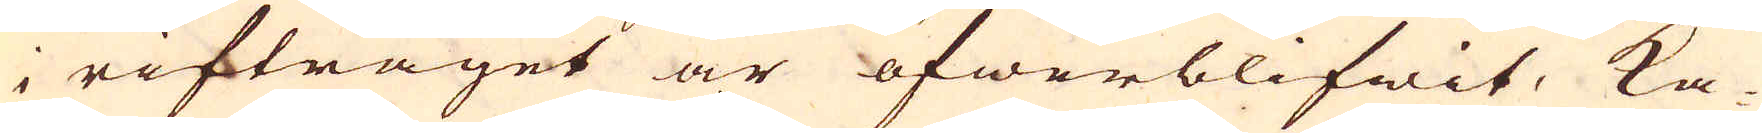i riftråget är öfwerblifwit, ka-
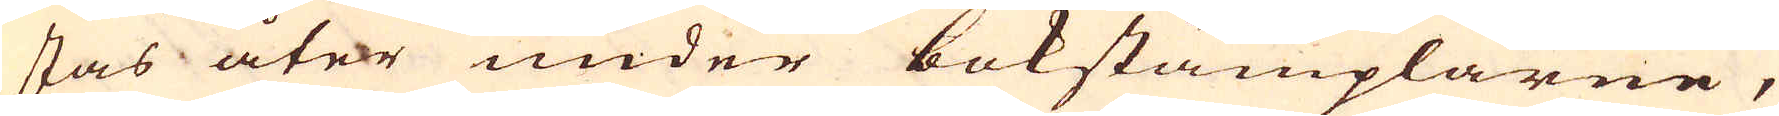stas åter under bokstämplarne,
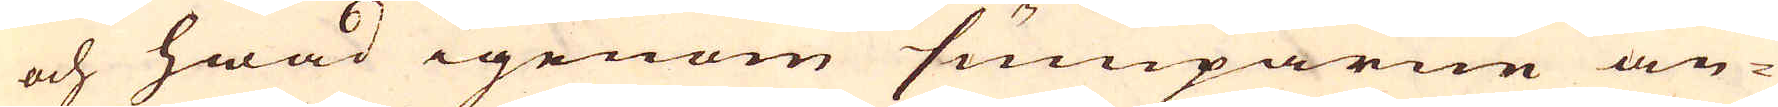och hwad igenom sumparne än-
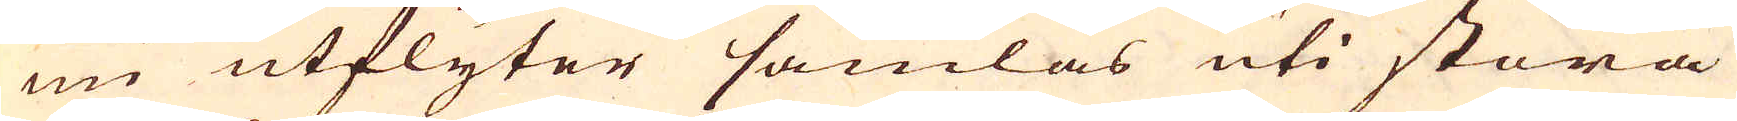nu utflyter samlas uti stora
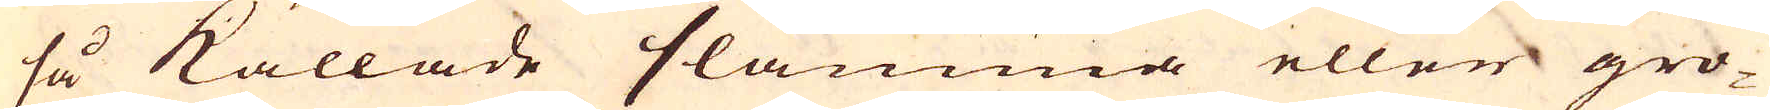så kallade slamma eller gro-
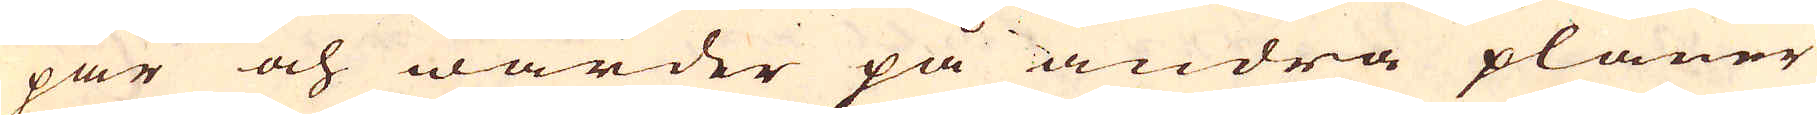par och warder på andra planer
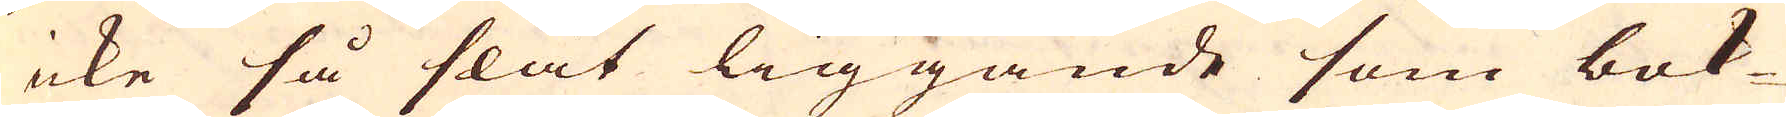icke så slät liggande som bok-
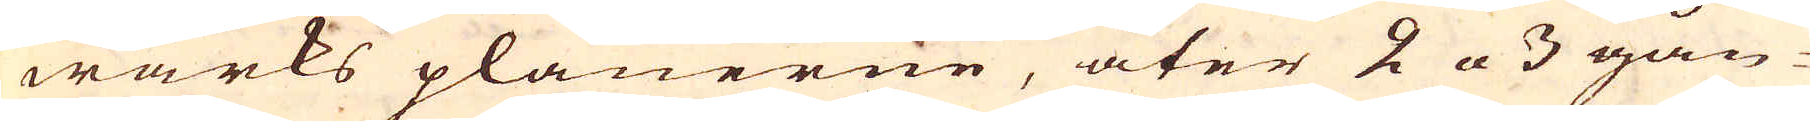wärks planerne, åter 2 a 3 gån-
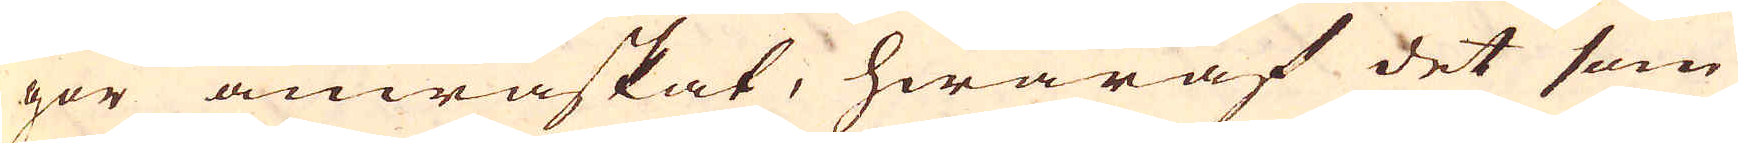gor anwaskat, hwaraf det som
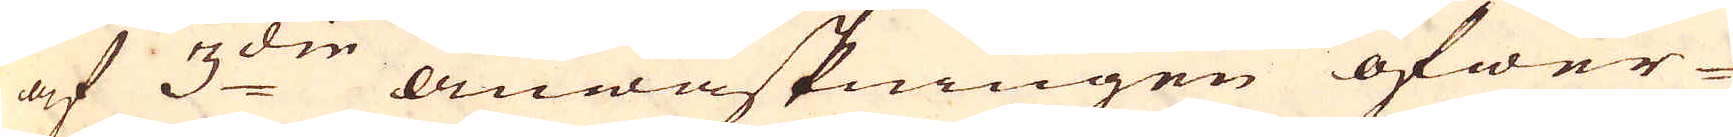af 3:die anwaskningen öfwer-
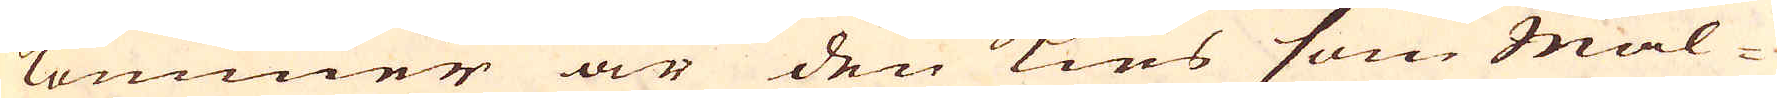kommer är den Kies som Mal-
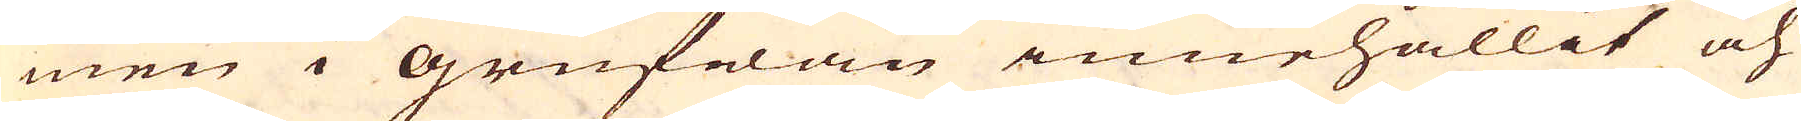men i Grufwan innehållit och
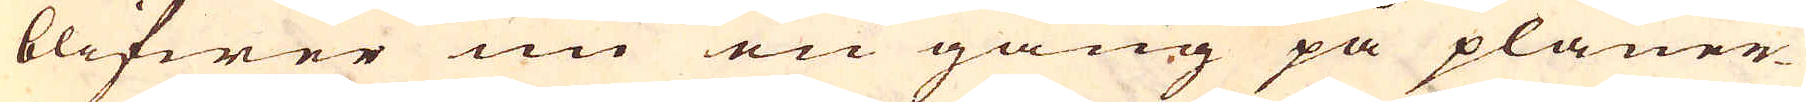blifwer nu en gång på planer-
